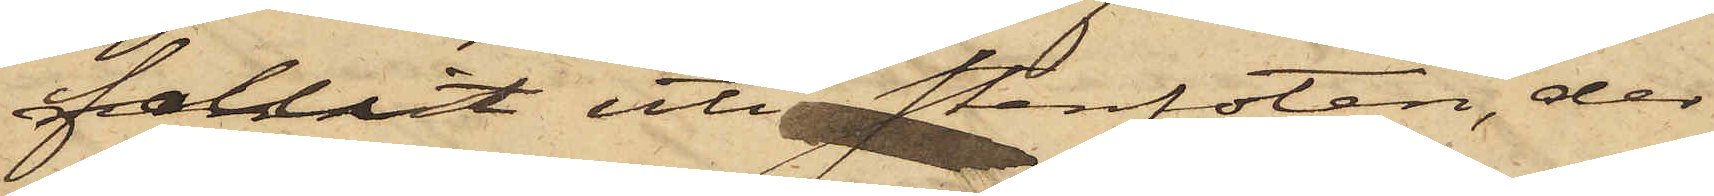fallit uti stenfoten, der
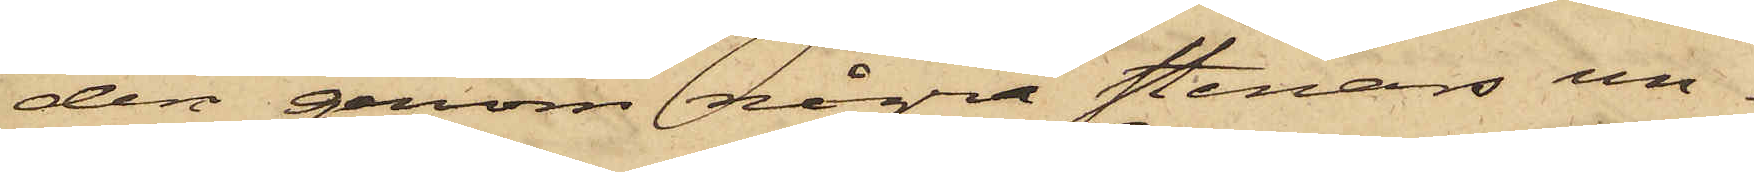den genom några stenars un¬
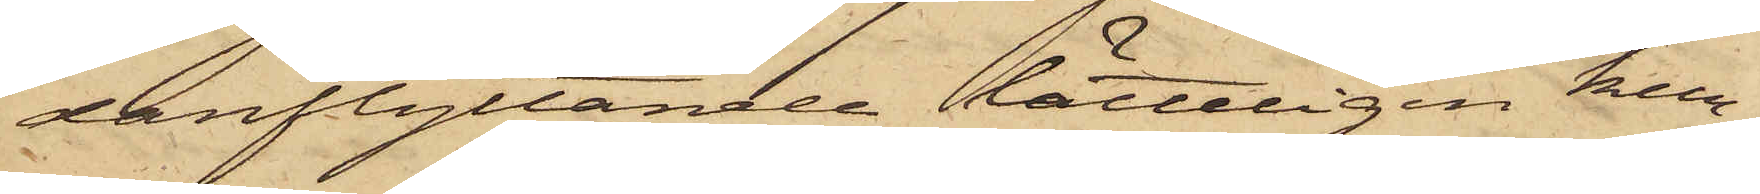danflyttande lätteligen kun¬
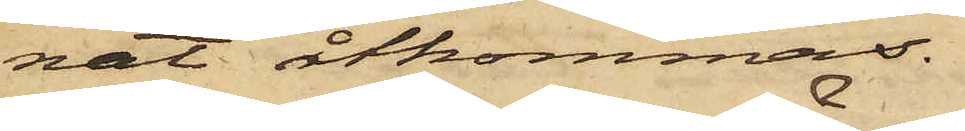nat åtkommas.
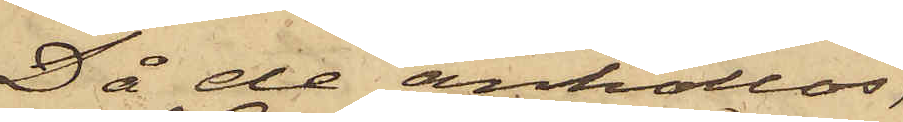Då de anhöllos,
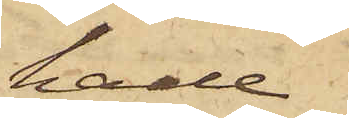hade
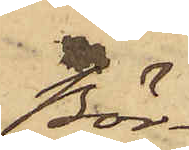Bör¬
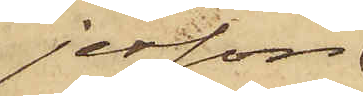jesson
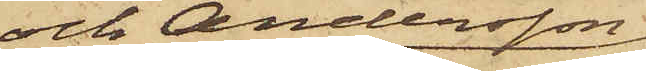och Andersson
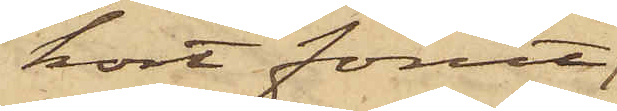kort förut,
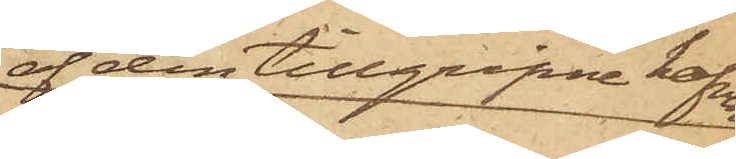af den tillgripne hafren
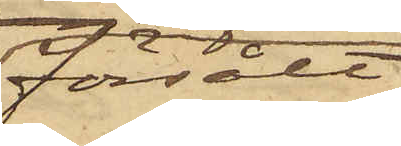försålt
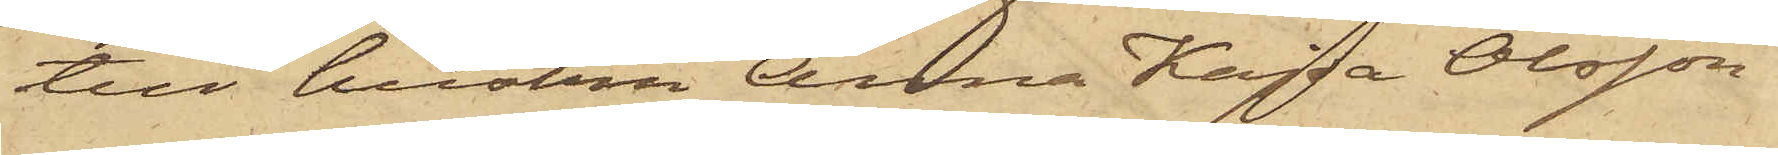till hustru Anna Kajsa Olsson
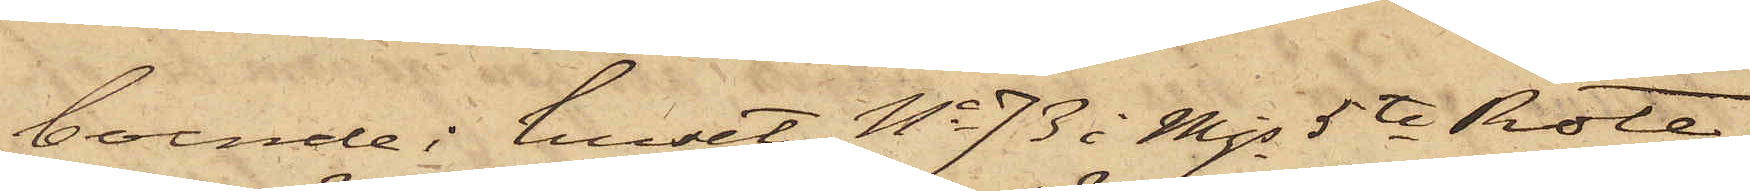boende i huset No 73 i Mjs 5te Rote,
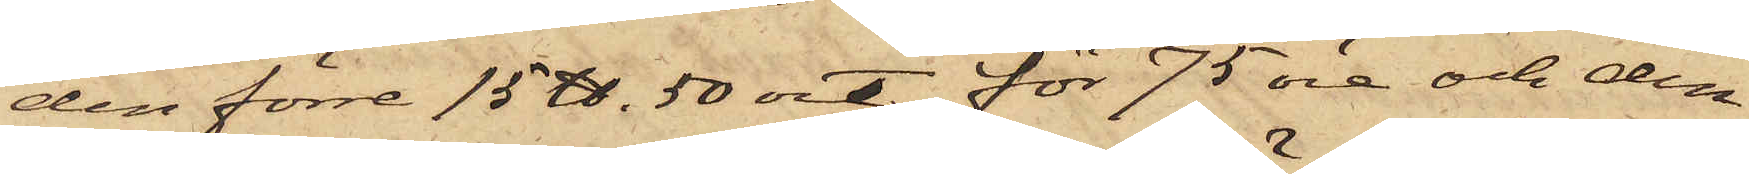den förre 15 ℔. 50 ort för 75 öre och den
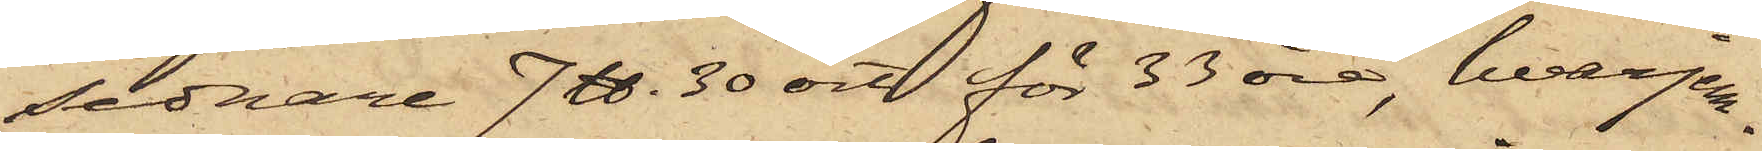sednare 7 ℔ 30 ort för 33 öre, hvarjem¬
